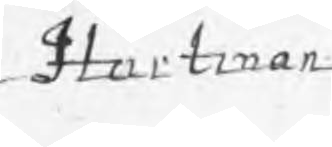Hartman
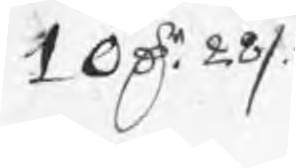10 Dr 28 /:
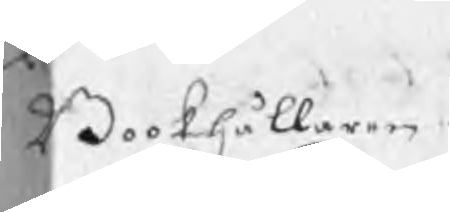Bookhållaren
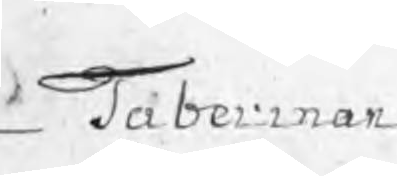Taberman
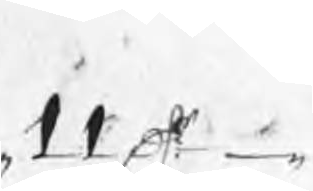11 Dr
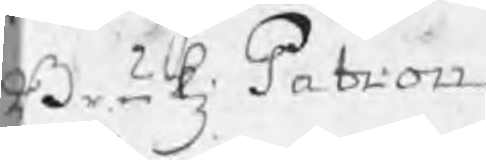BrukzPatron
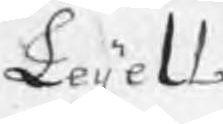Leijell
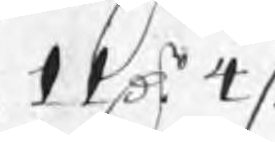11 Dr 4 /:
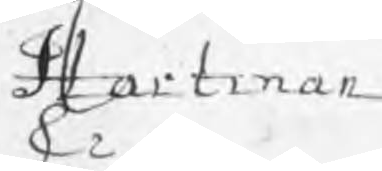Hartman
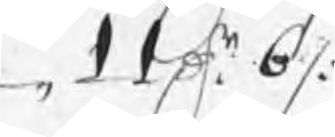11 Dr 6 /:
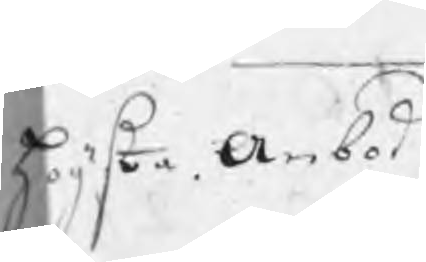högsta Anbod
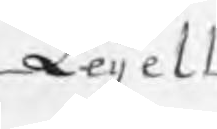Leijell
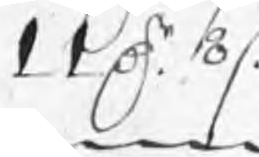11 Dr 8 /:
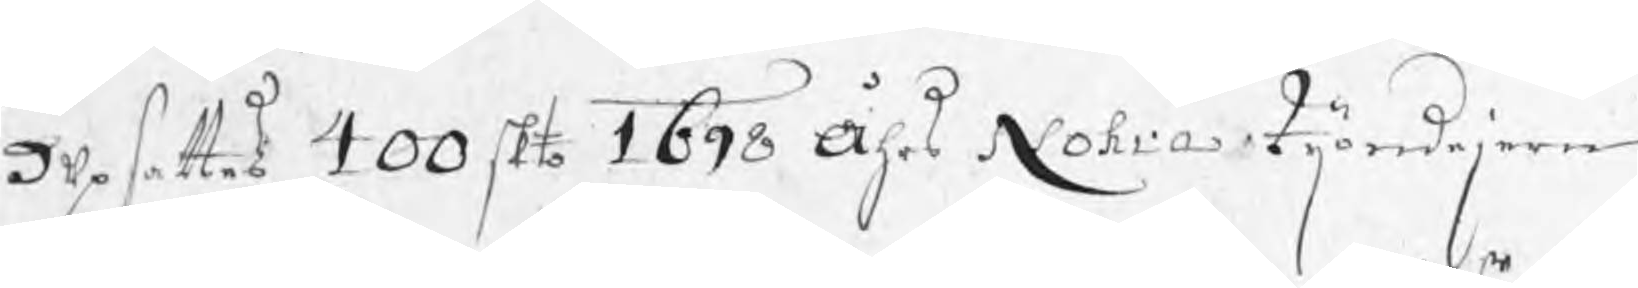Upsattes 400 skto 1698 Åhrs Nohra tijondejern
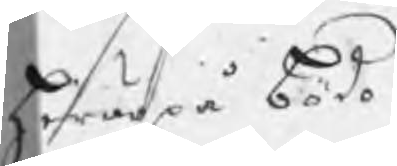hwarpå bödo
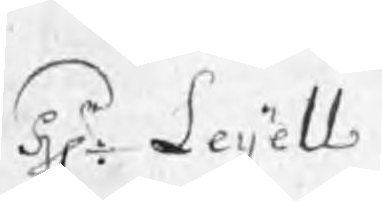Hr: Leijell
